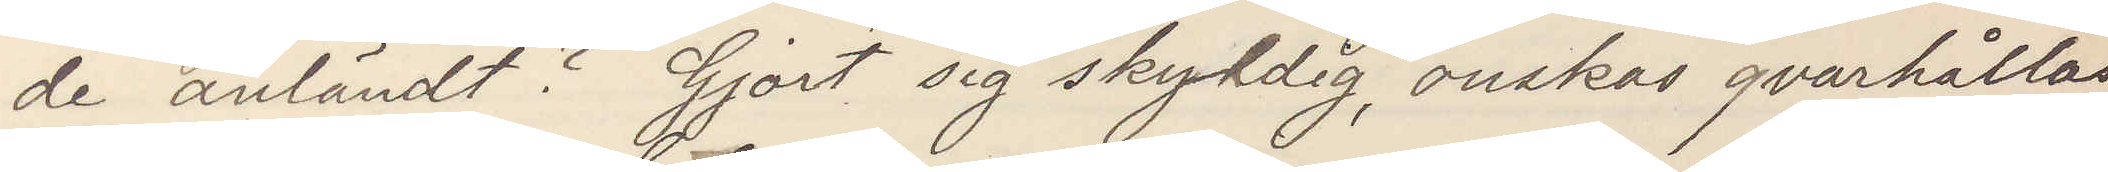de anländt? Gjort sig skyldig, önskas qvarhållas,
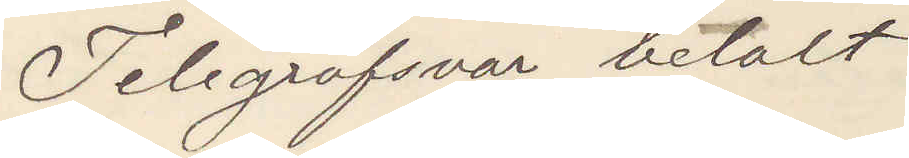Telegrafsvar betalt.
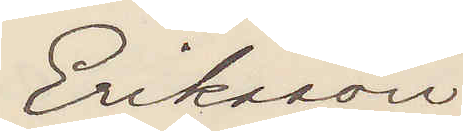Eriksson
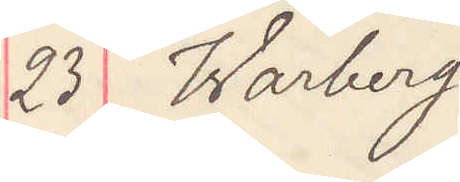23 Warberg
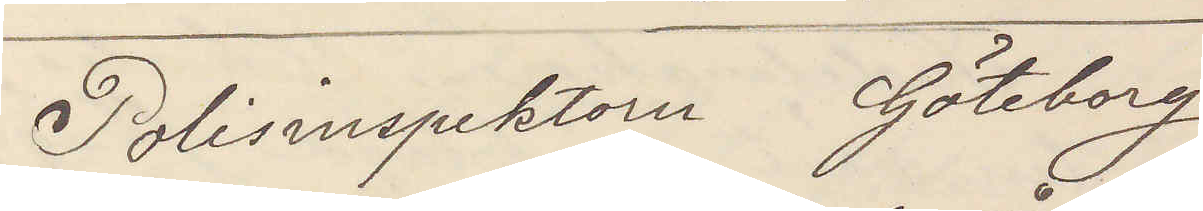Polisinspektorn Göteborg
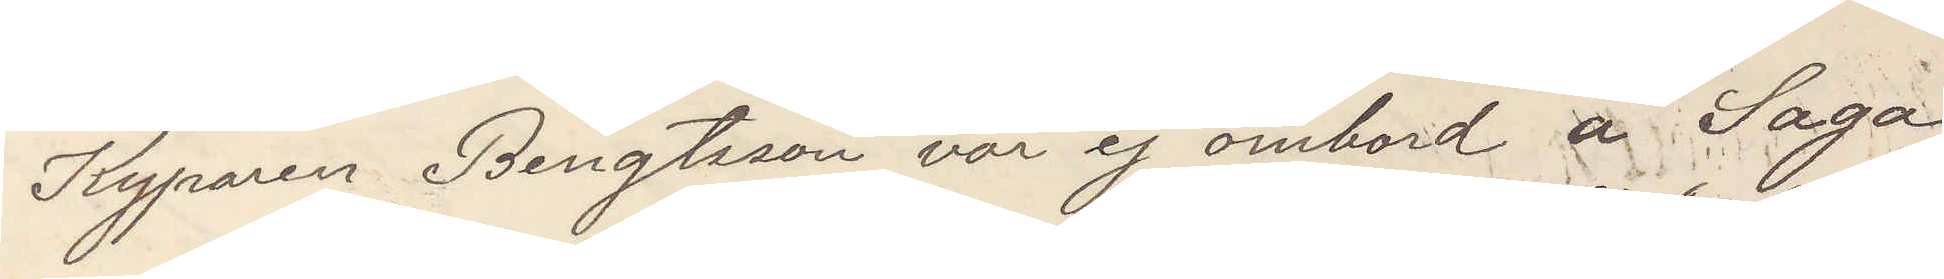Kyparen Bengtsson var ej ombord å Saga
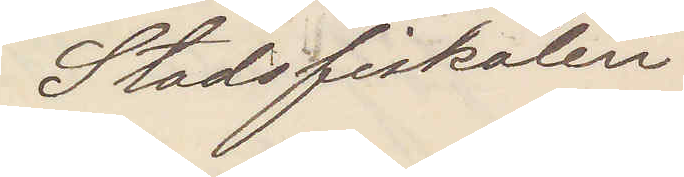Stadsfiskalen.
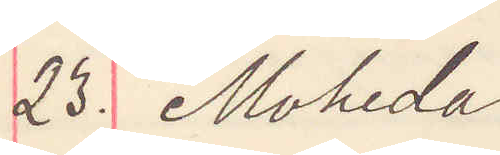23. Motala.
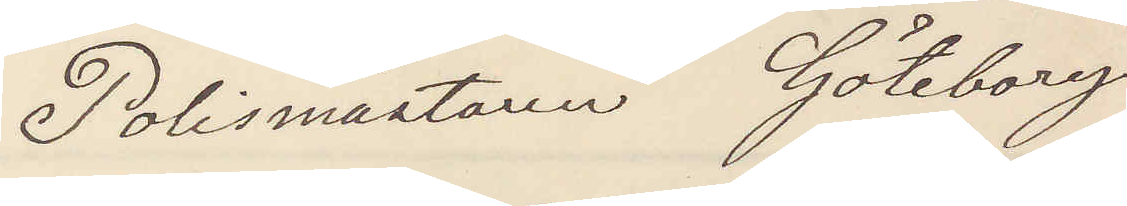Polismästaren Göteborg
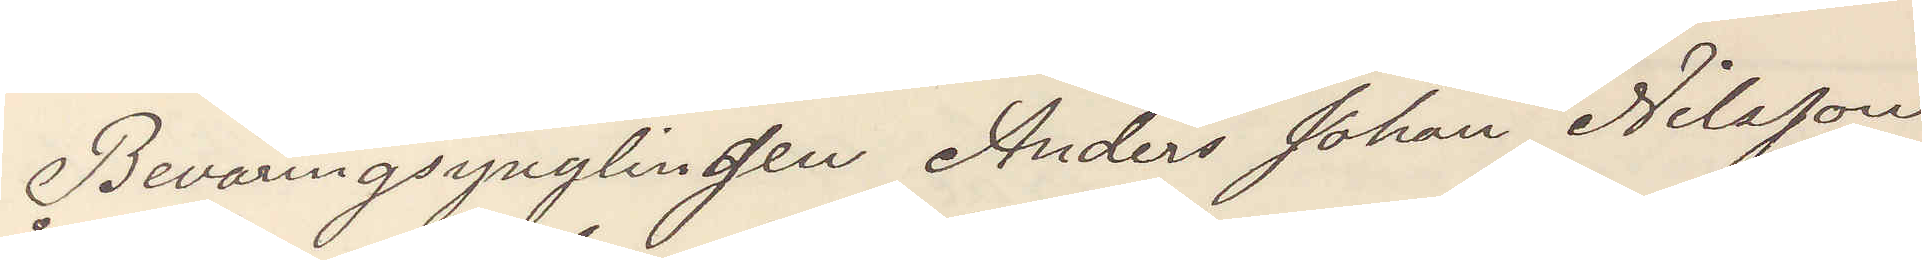Beväringsynglingen Anders Johan Nilsson
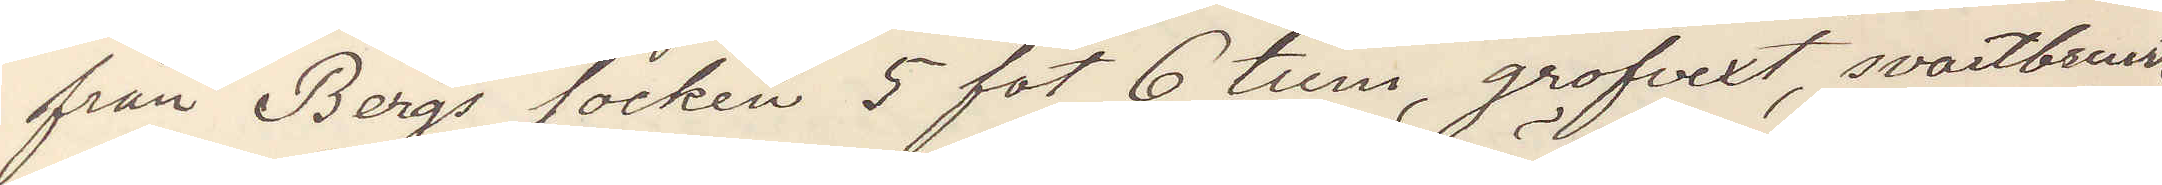från Bergs socken 5 fot 6 tum, grofvext, svartbrunt
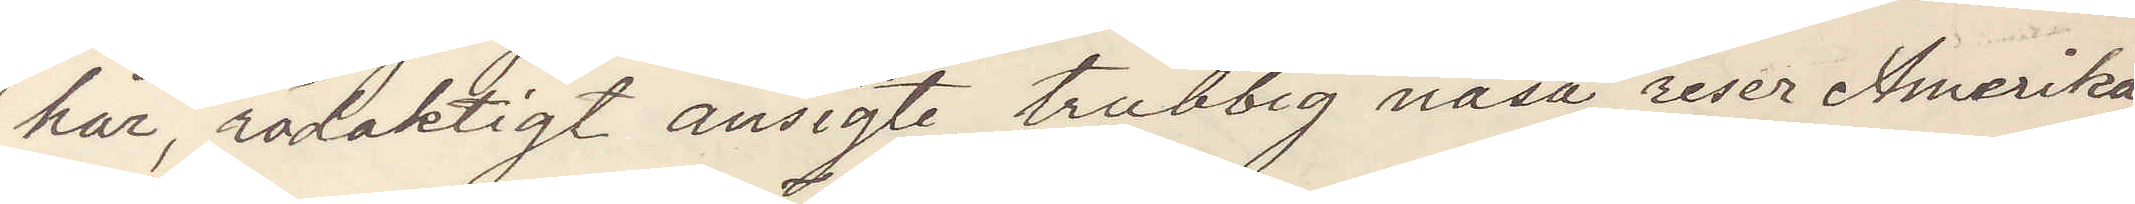hår, rödaktigt ansigte, trubbig näsa, reser Amerika,
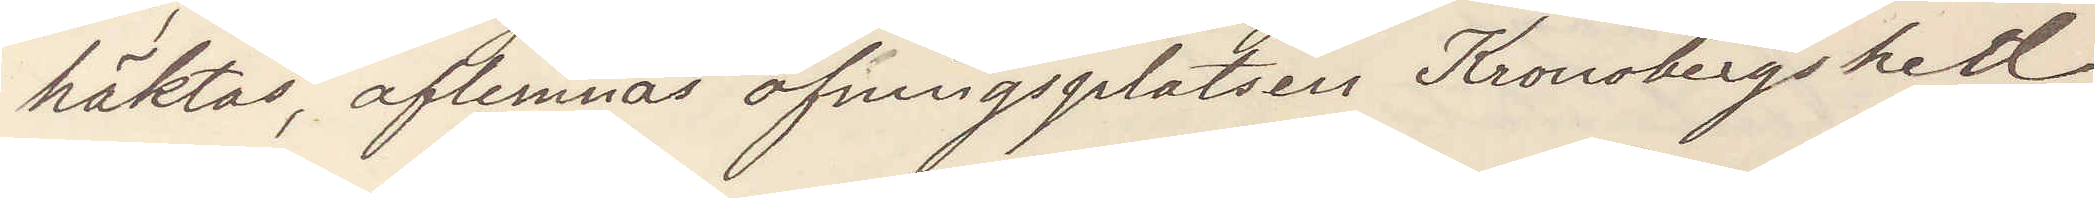häktas, aflemnas öfningsplatsen Kronobergshed
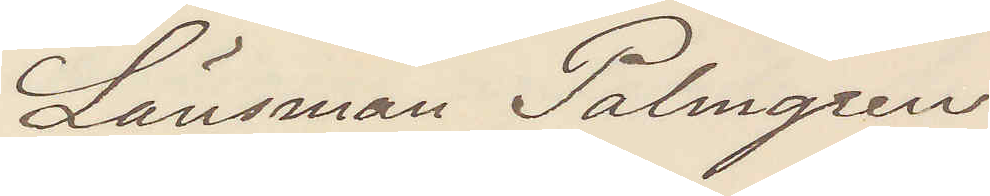Länsman Palmgren 
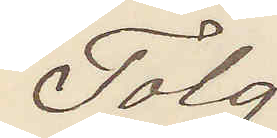Tolg
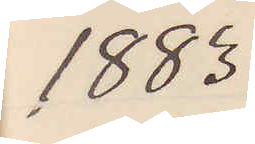1883
